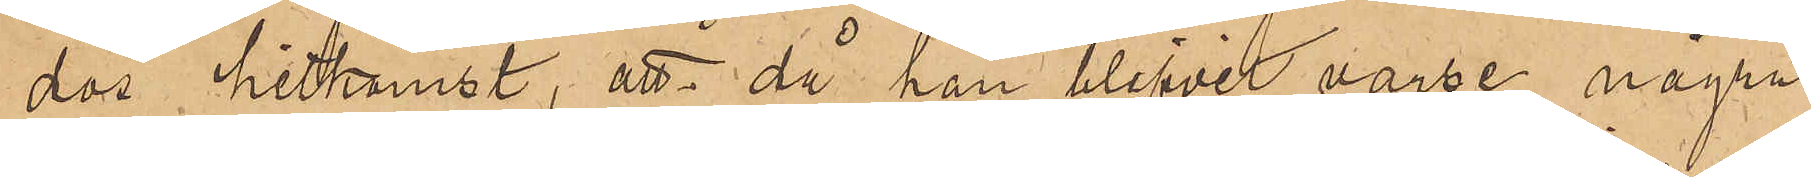dos hitkomst, att då han blifvit varse några
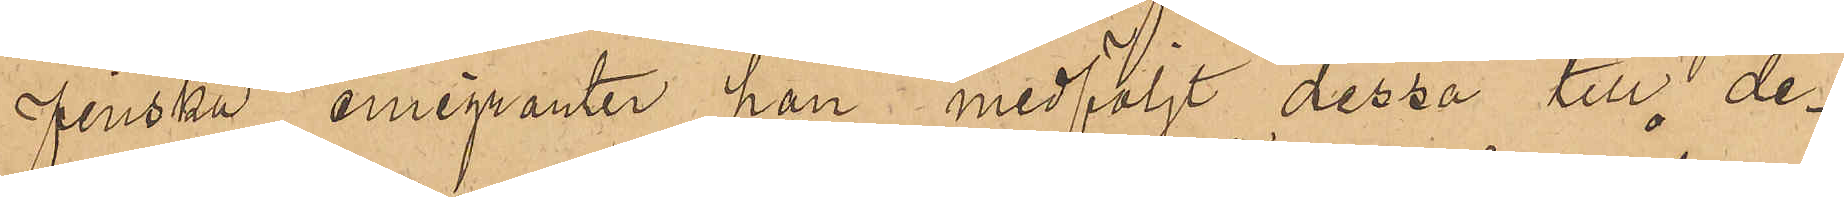finska emigranter han medföljt dessa till de¬
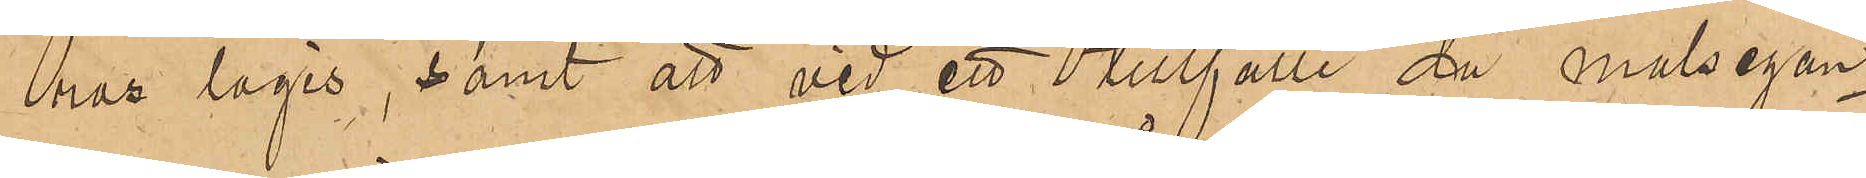ras logis, samt att vid ett tillfälle då målsegan¬
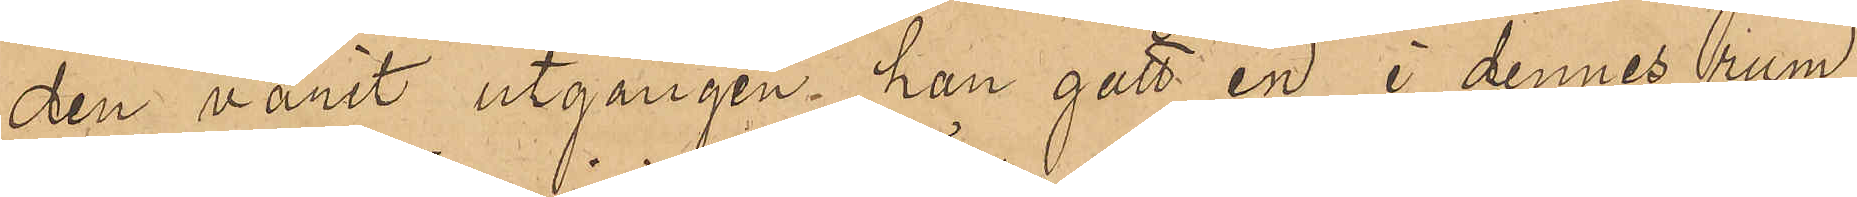den varit utgången, han gått en i dennes rum
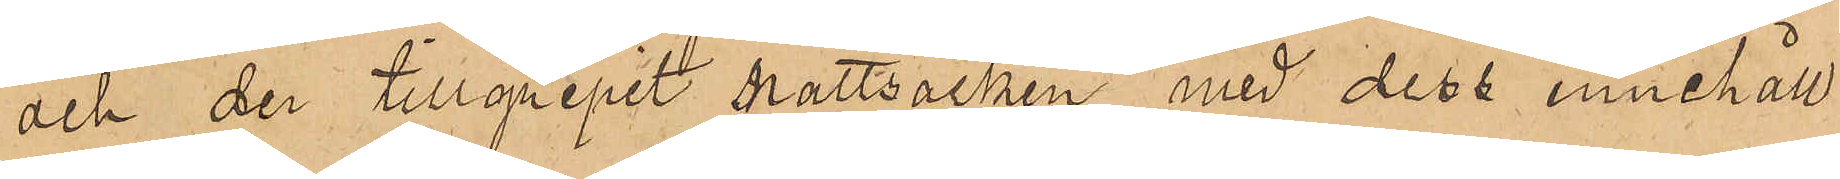och der tillgripit nattsäcken med dess innehåll
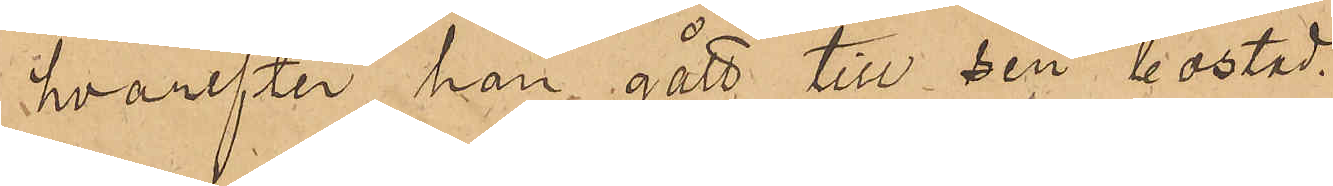hvarefter han gått till sin bostad.
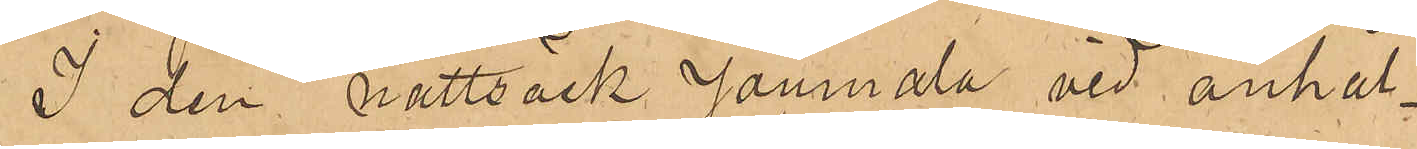I den nattsäck Joumala vid anhål¬
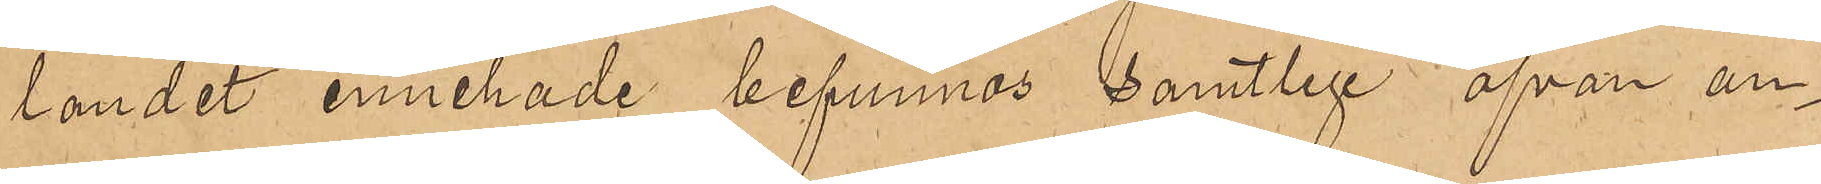landet innehade befunnos samtlige ofvan an¬
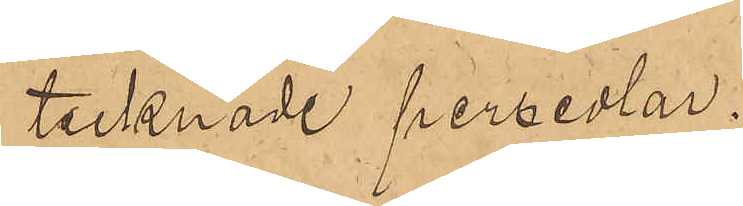tecknade persedlar.
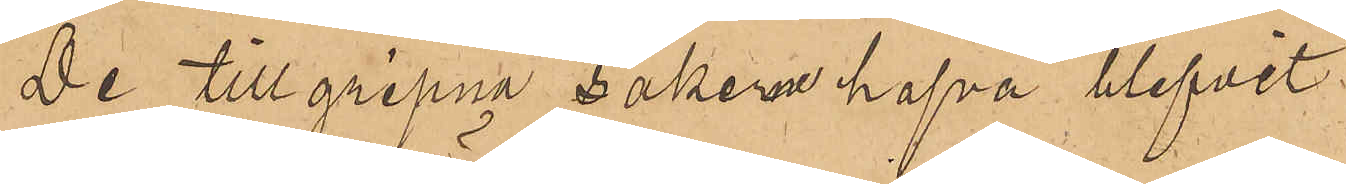De tillgripne sakerna hafva blifvit
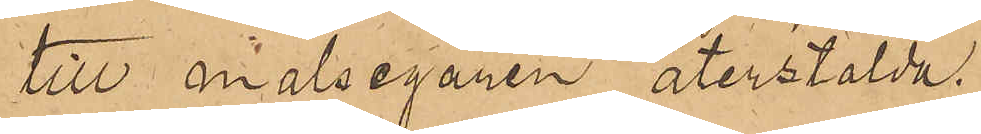till målsegaren återstälda.
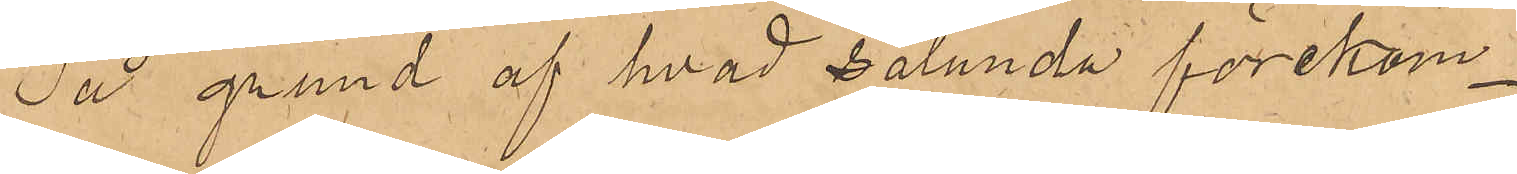På grund af hvad sålunda förekom¬
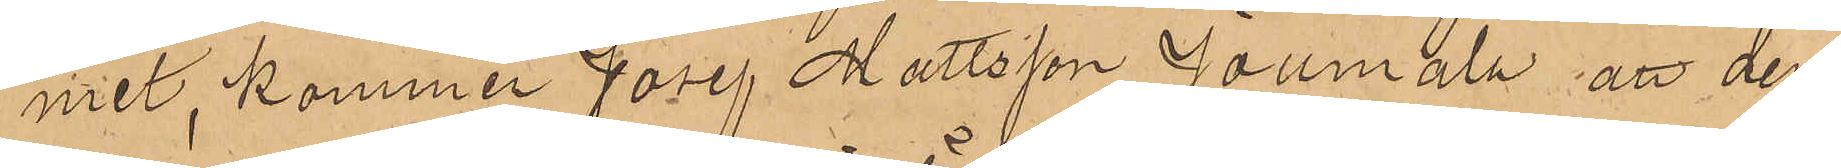mit, kommer Josef Mattsson Joumala att den¬
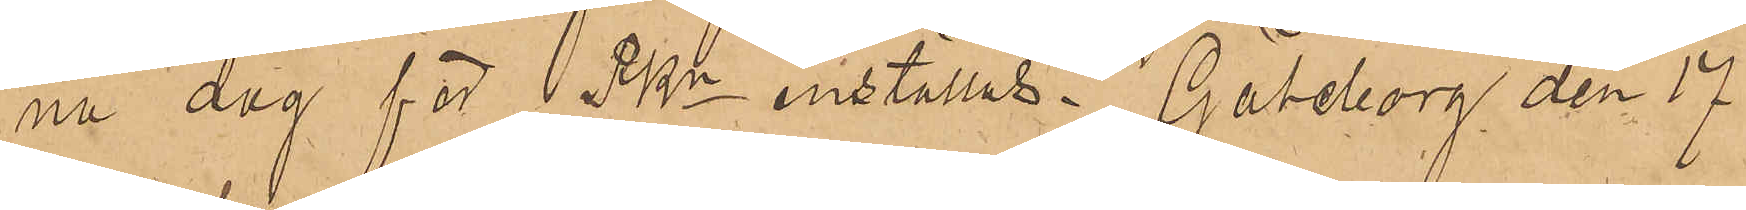na dag för PKn inställas. Göteborg den 17
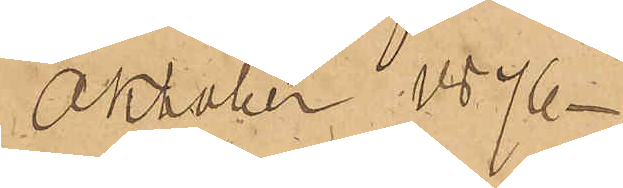Oktober 1876.
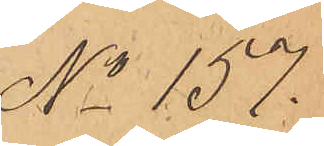No 157.
